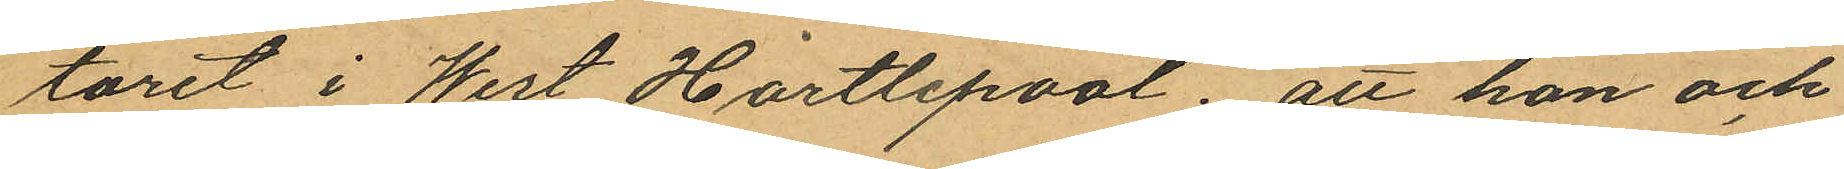toret i West Hartlepool; att hon och
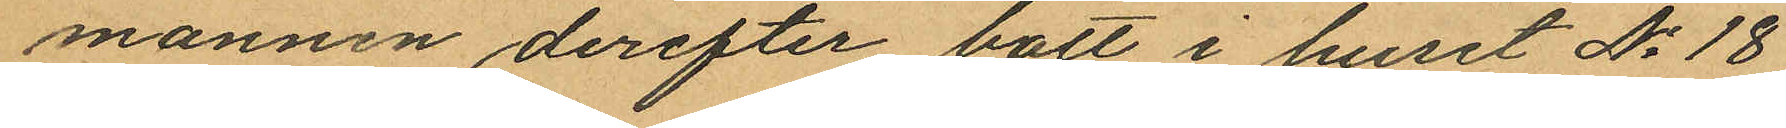mannen derefter bott i huset No 18
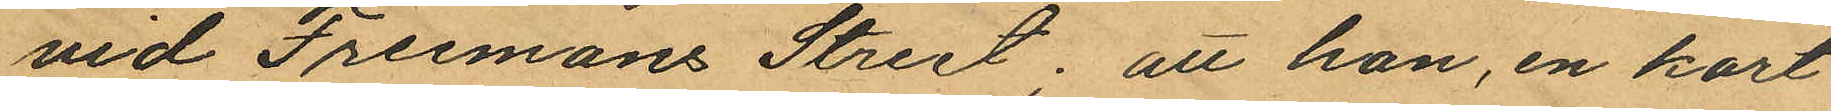vid Freemans Street; att hon, en kort
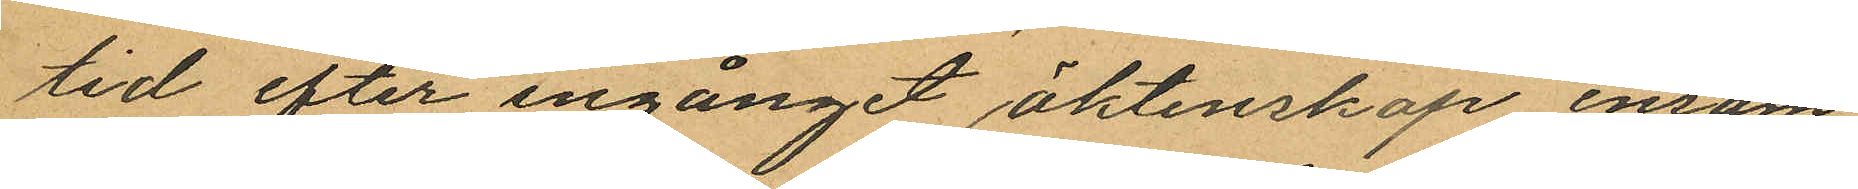tid efter ingånget åktenskap ensam
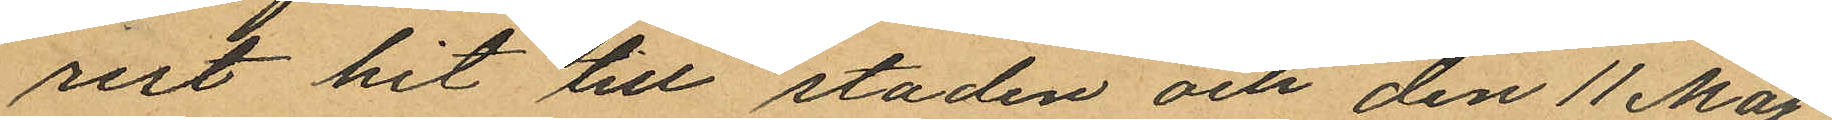rest hit till staden och den 11 Maj
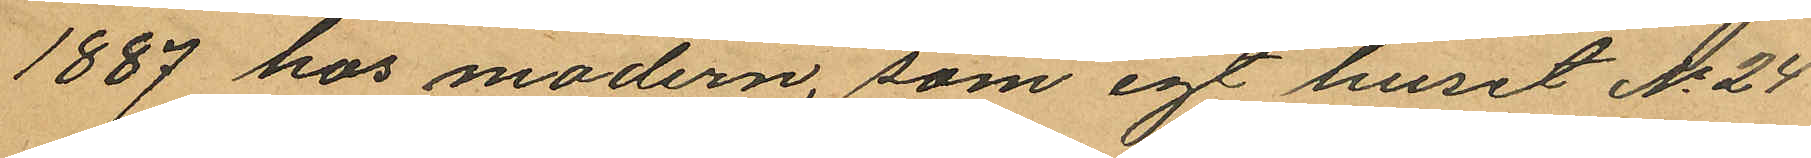1887 hos modern, som egt huset No 24
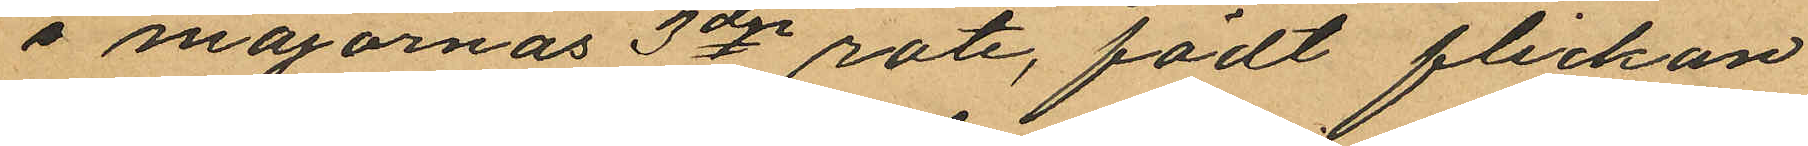å majornas 3dje rote, födt flickan
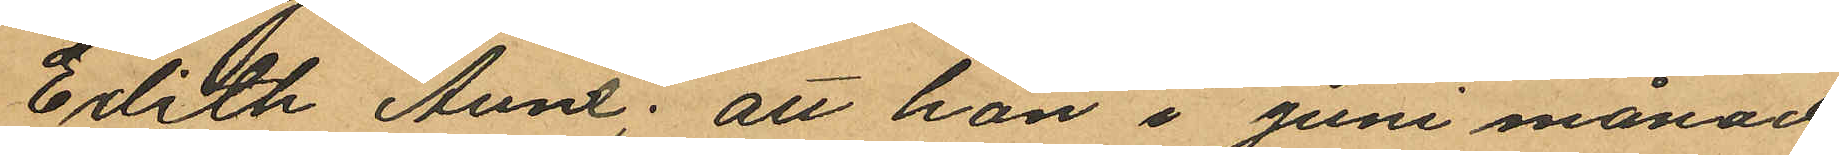Edith Anne: att hon i juni månad
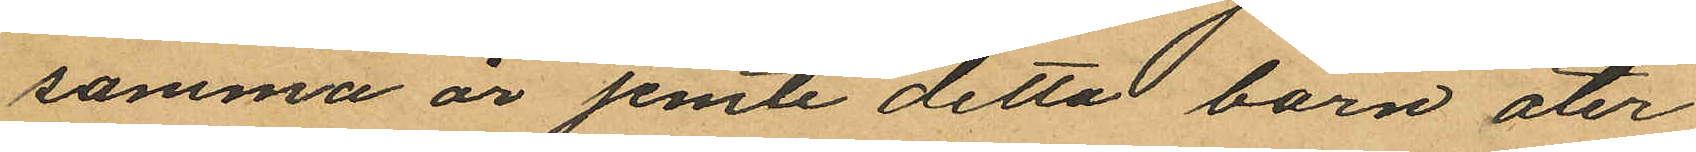samma år jemte detta barn åter¬
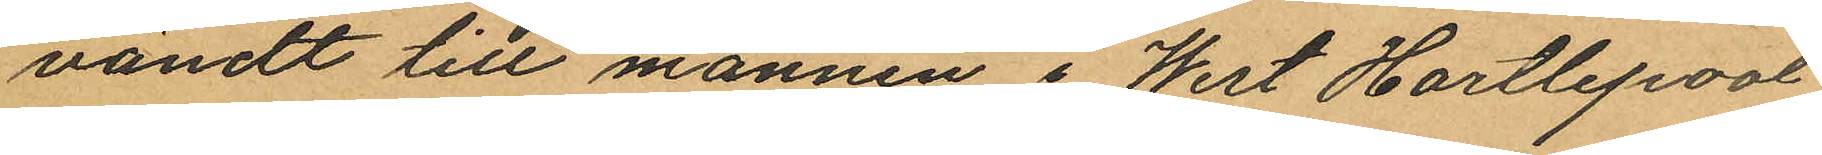vändt till mannen i West Hartlepool
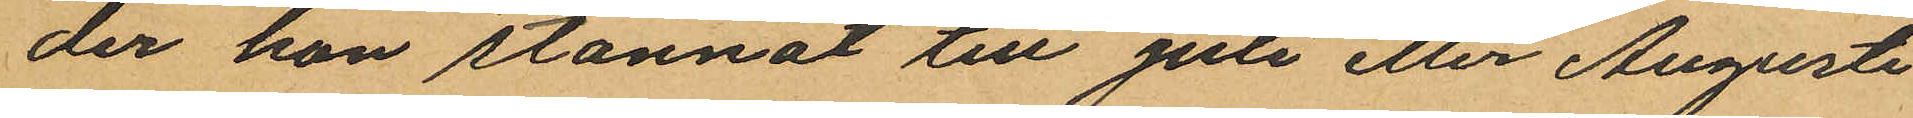der hon stannat till Juli eller Augusti
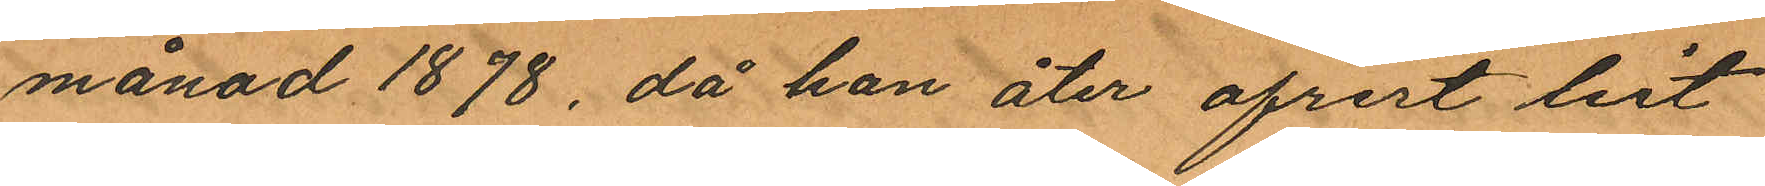månad 1878, då hon åter afrest hit
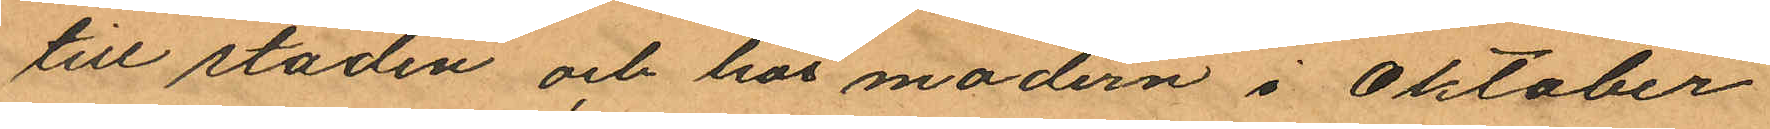till staden och hos modern i Oktober
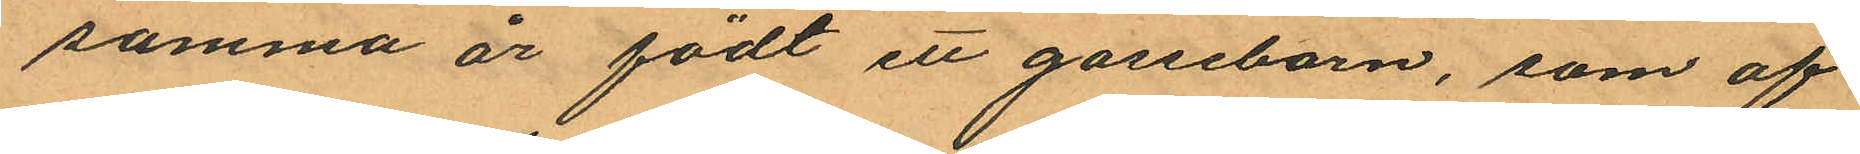samma är födt ett gossebarn, som af¬
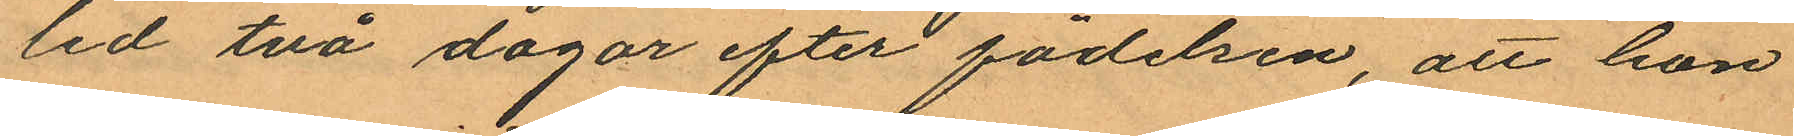led två dagar efter födelsen, att hon
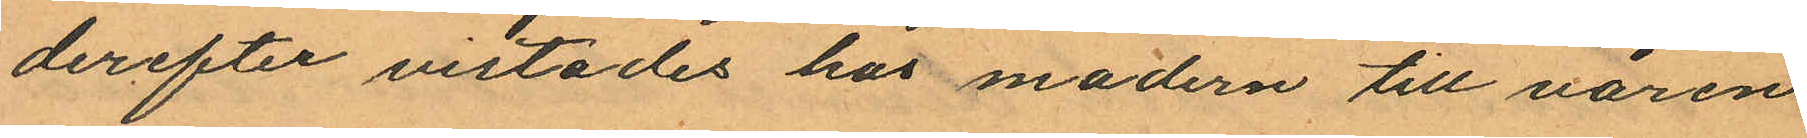derefter vistades hos modern till våren
